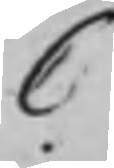C
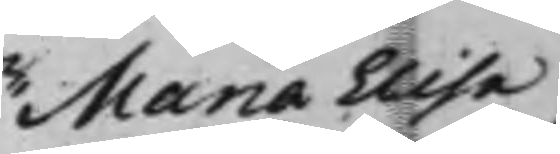Maria Elisa¬
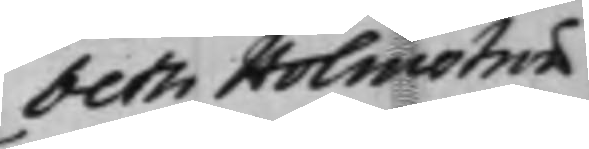beth Holmström
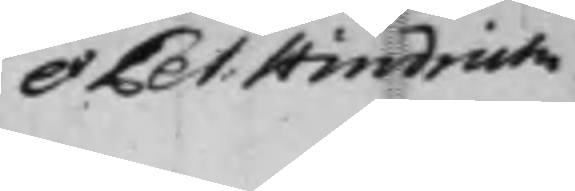et Pet: Hindrich.
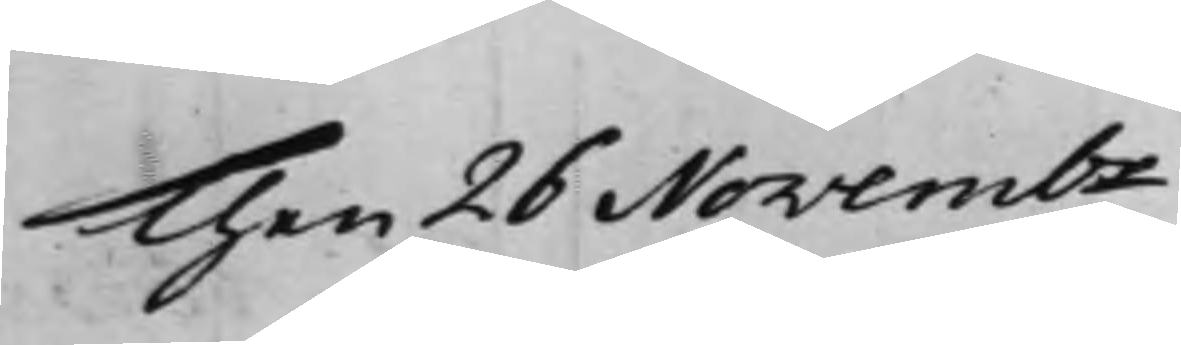Then 26 Novembr
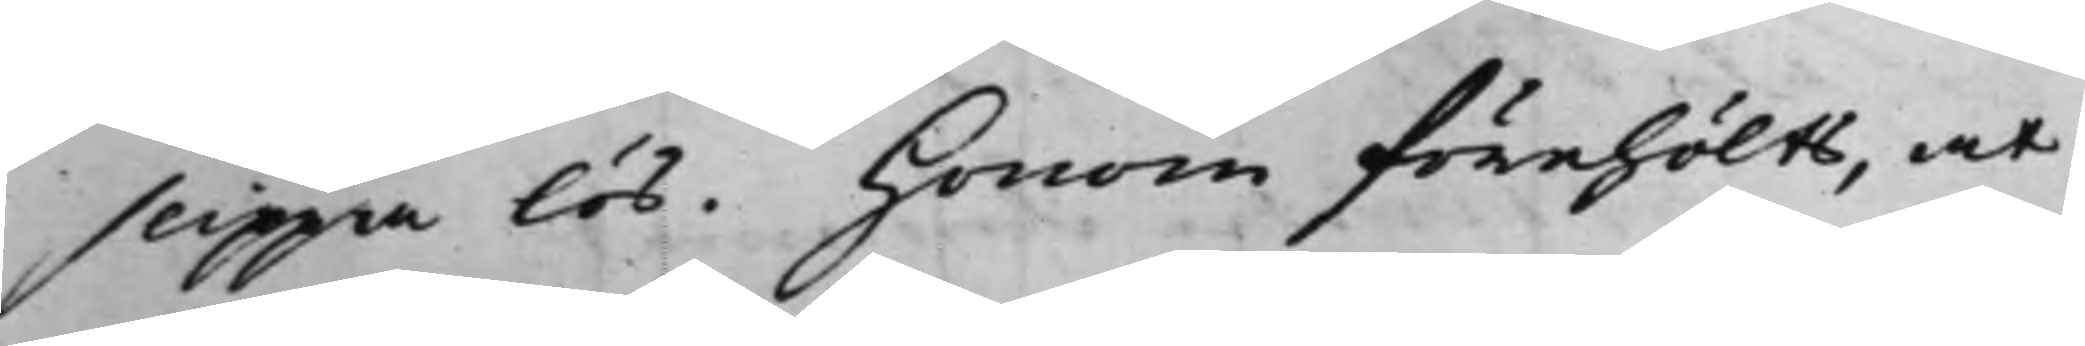slippa lös. Honom förehölts, at
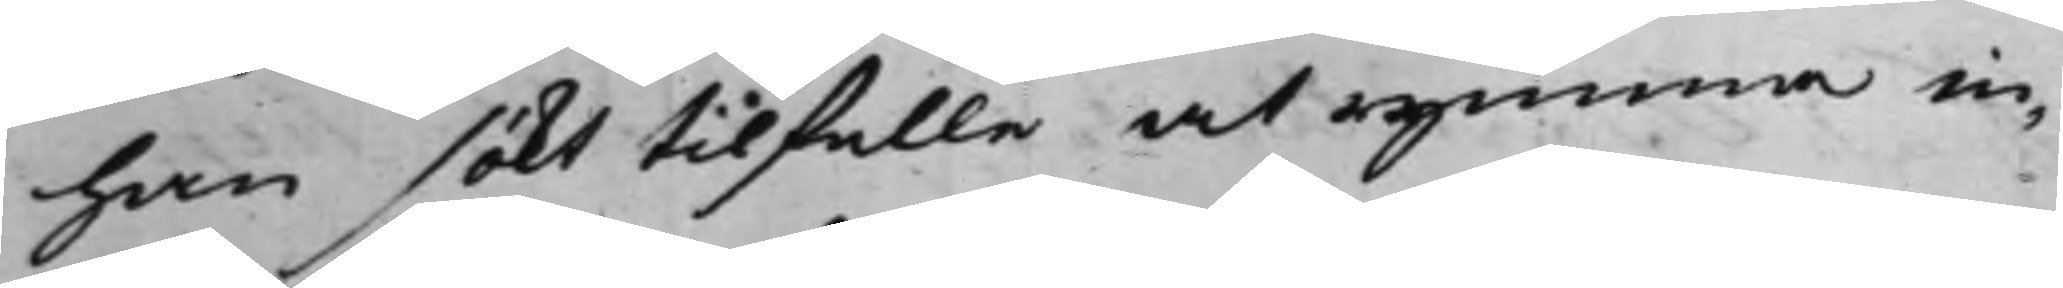han sökt tillfälle at rymma in¬
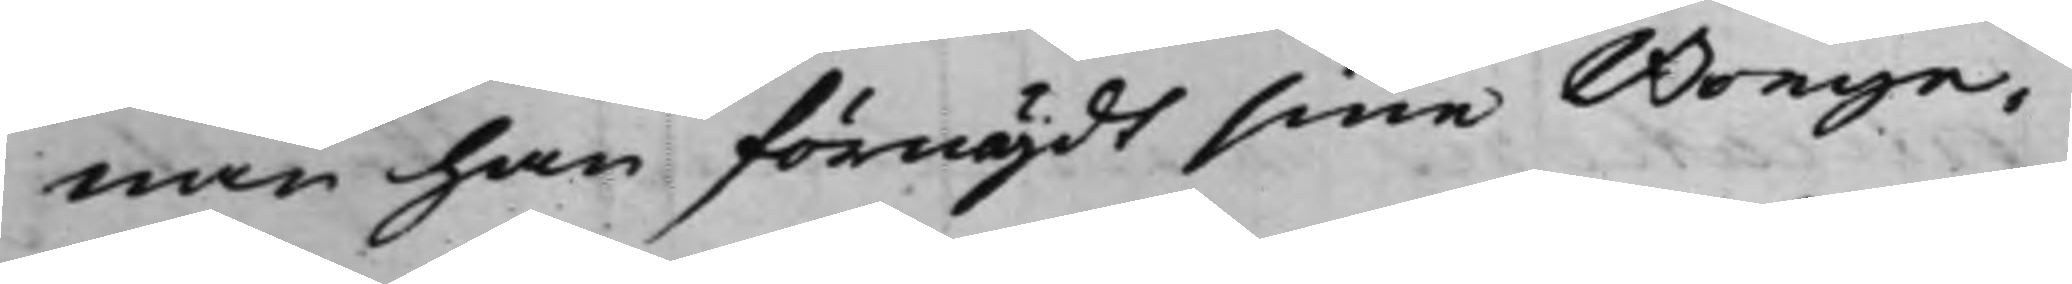nan han förnöjdt sine Borge¬
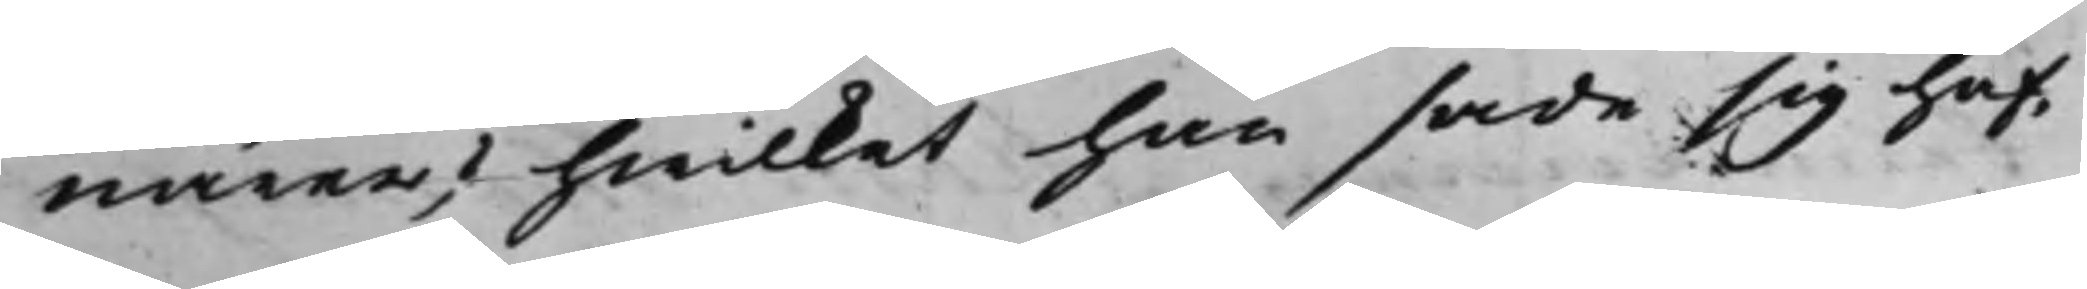närer, hwilket han sade sig haf¬
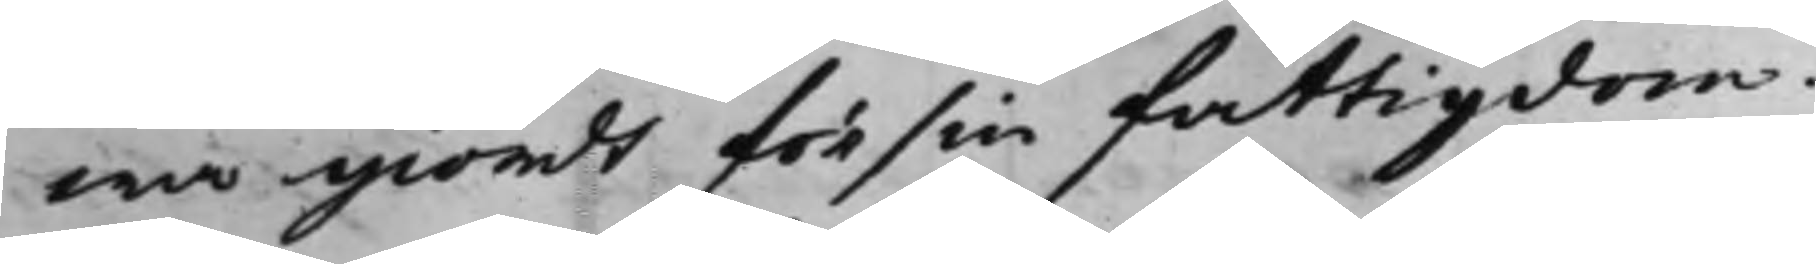wa giordt för sin fattigdom.
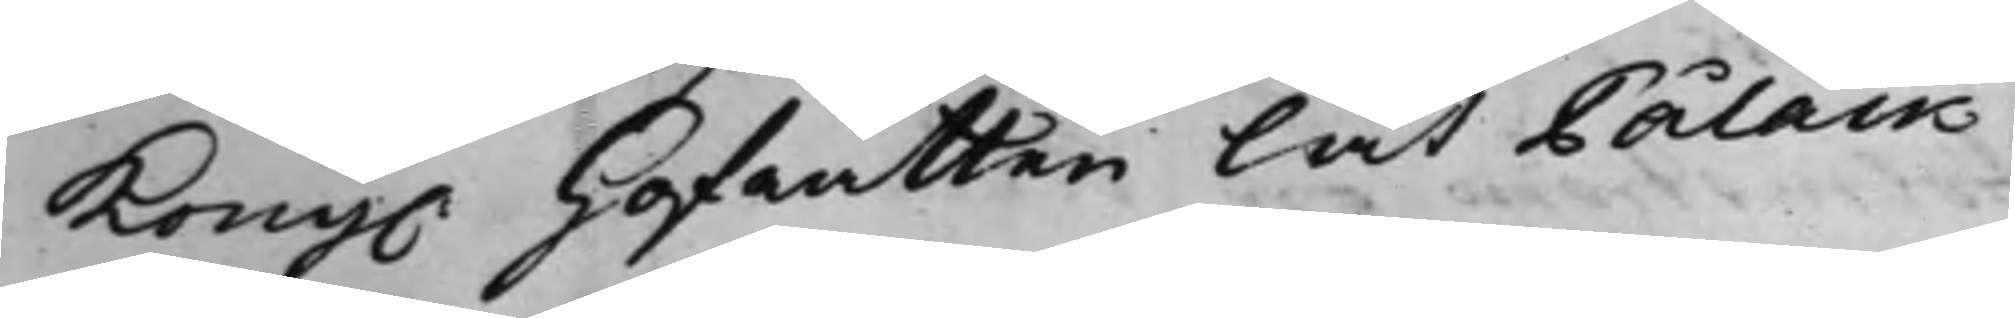Kong. Hofrätten lät Pålack
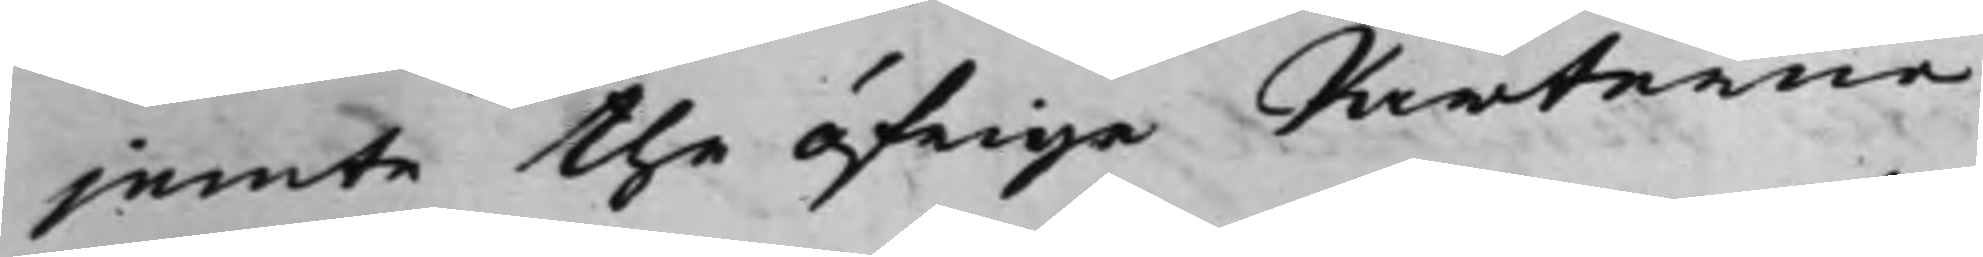jemte the öfrige Parterne
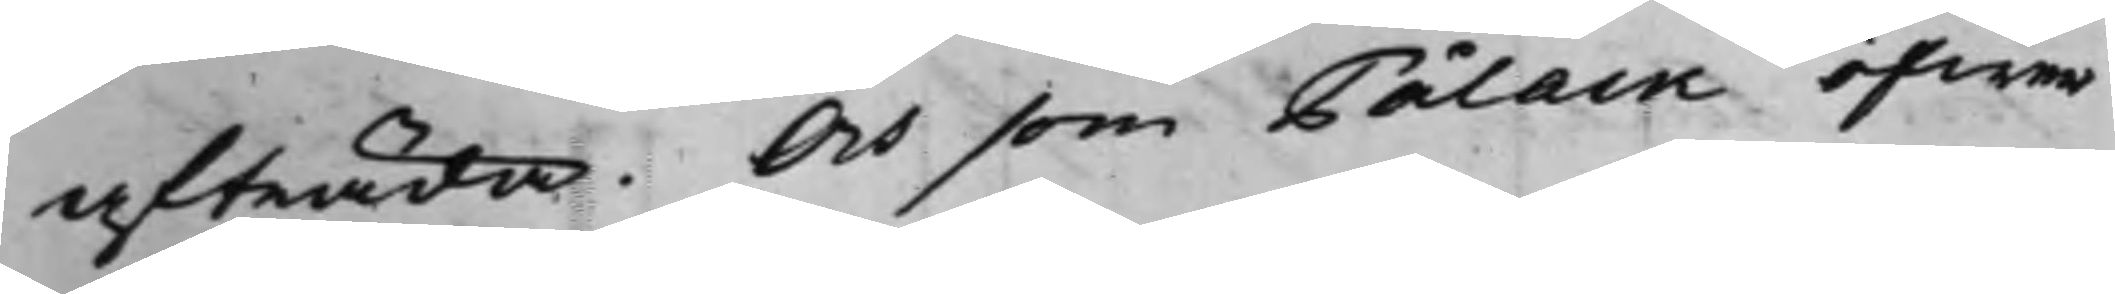afträda. Och som Pålack öfwer
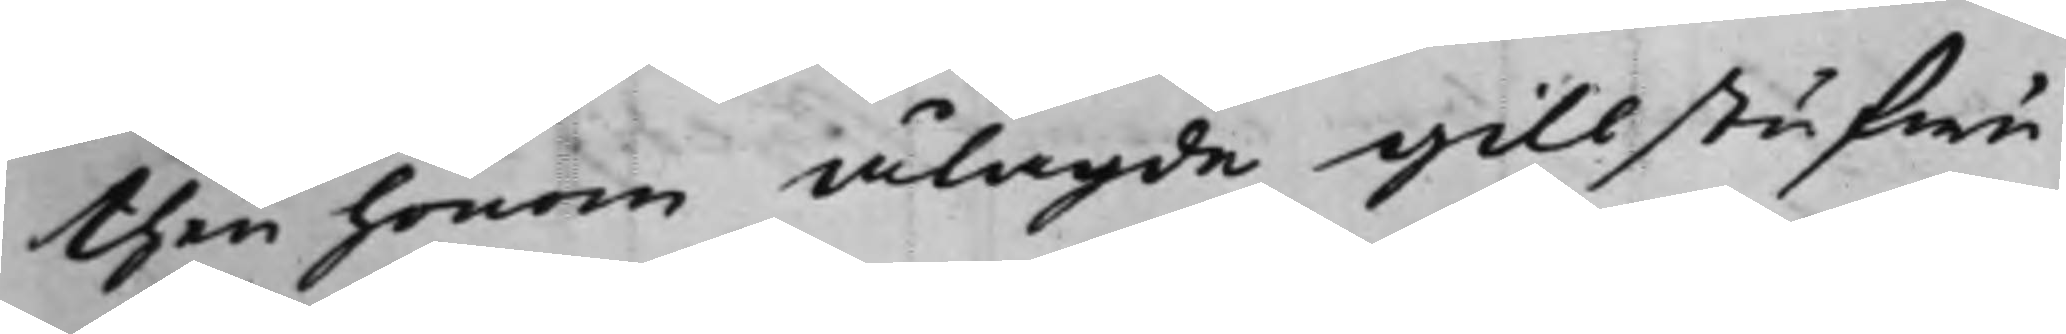then honom ålagde gillstufwu¬
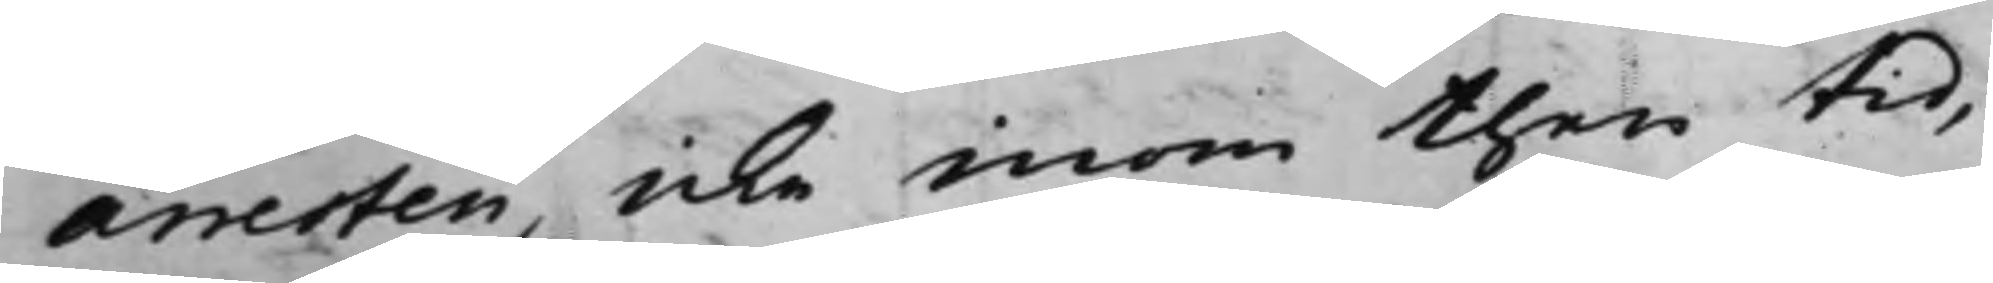arresten, icke inom then tid,
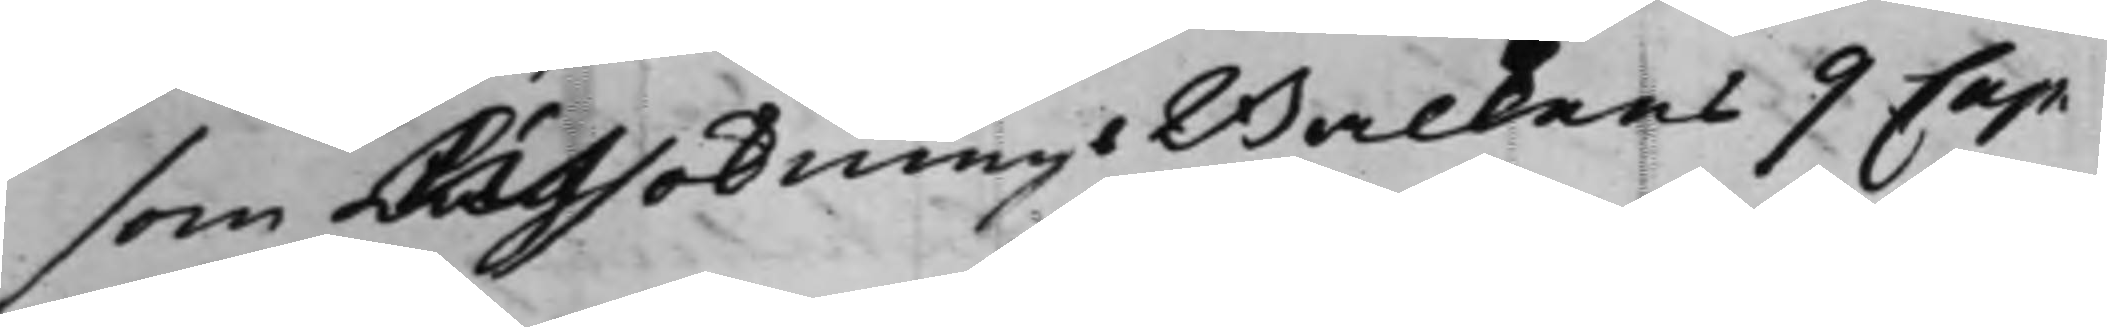som LagsökningsBalkens 9 Cap.
